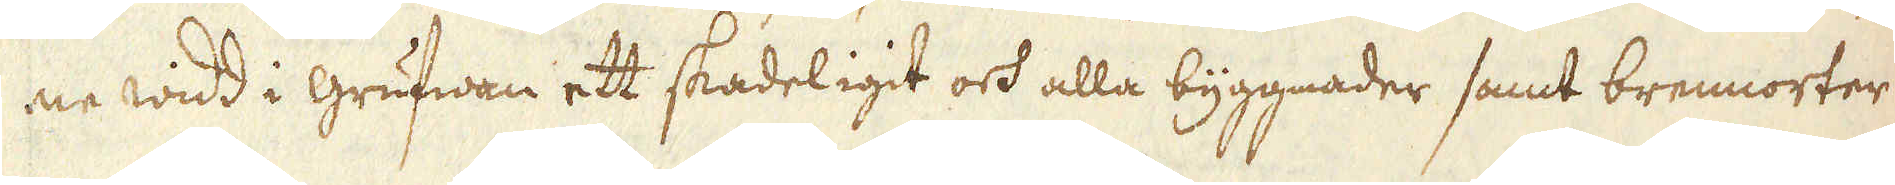ne widd i grufwaen ett skadeligit och alla byggnader samt brennorter
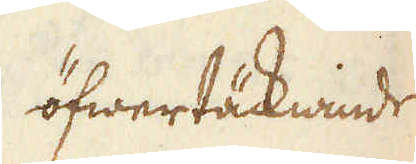öfwertäcknande
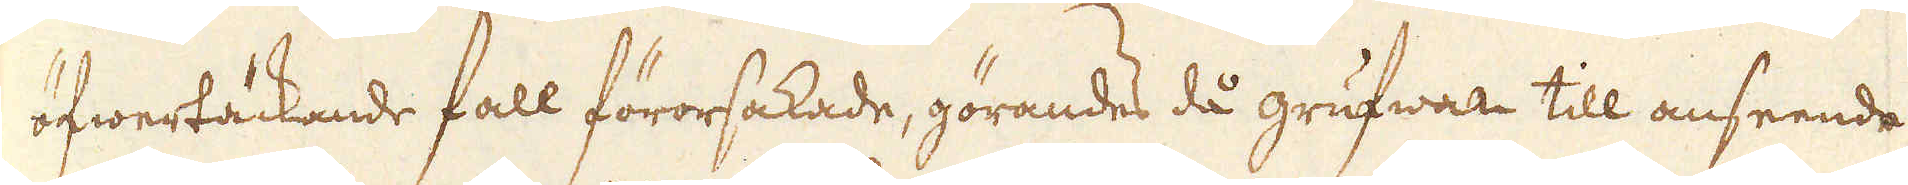öfwertäckande fall förorsakade, görandes då grufwan till anseende
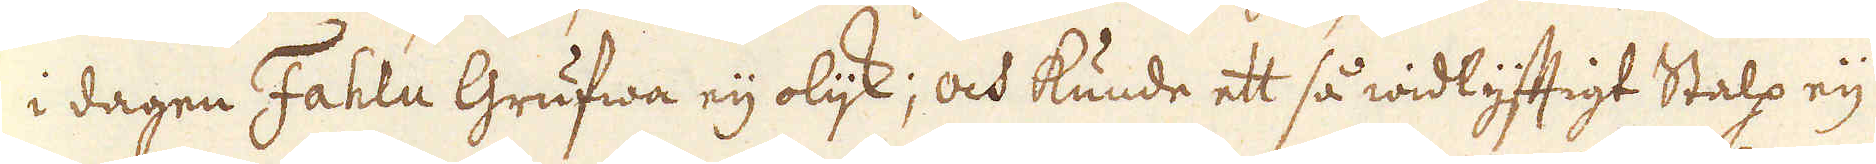i dagen Fahlu Grufwa eij olijk; och kunde ett så widlyftigt Stalp eij
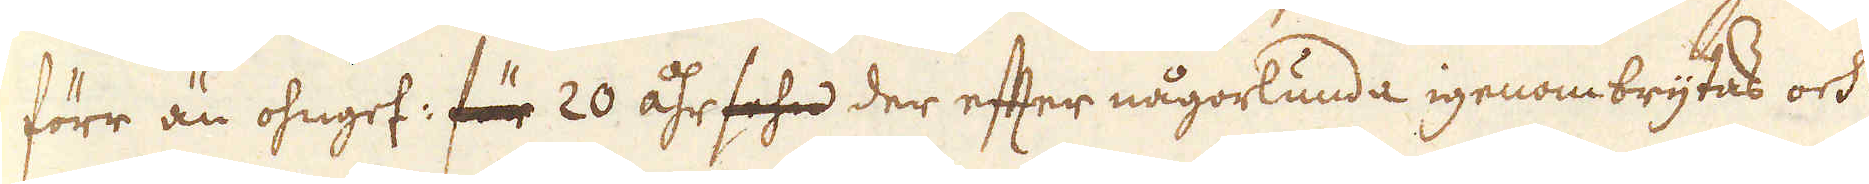förr än ohngef: för 20 åhr sehn der efter någorlunda igenombrytas och
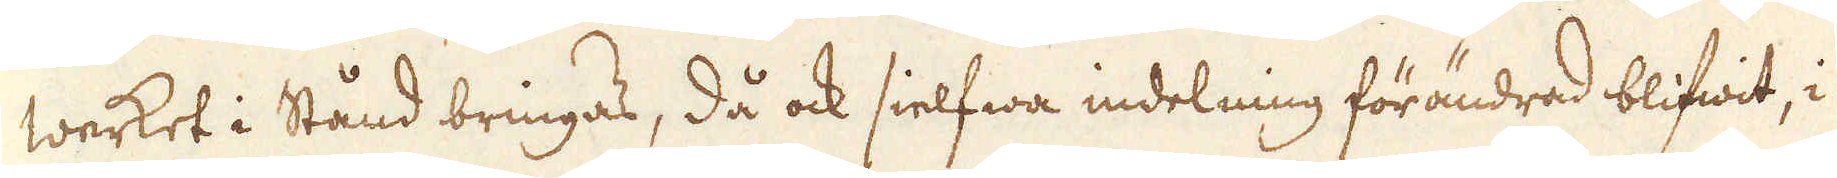werket i Stånd bringas, då ock sielfwa indelning förändrad blifwit, i
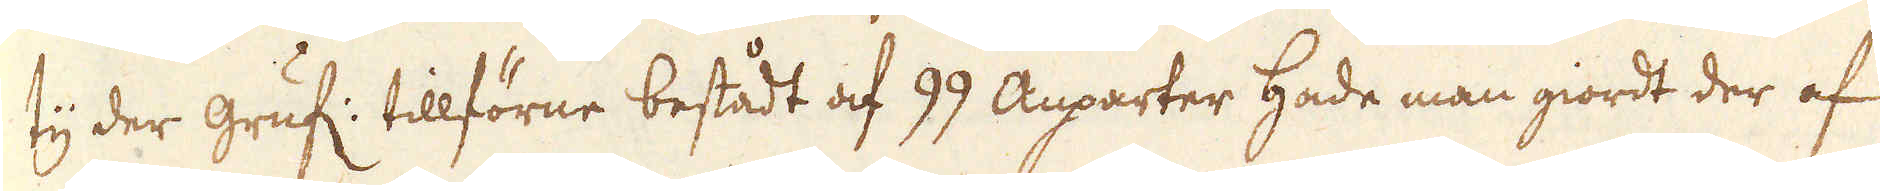ty der gruf: tillförne bestådt af 99 Auparter Hade man giordt der af
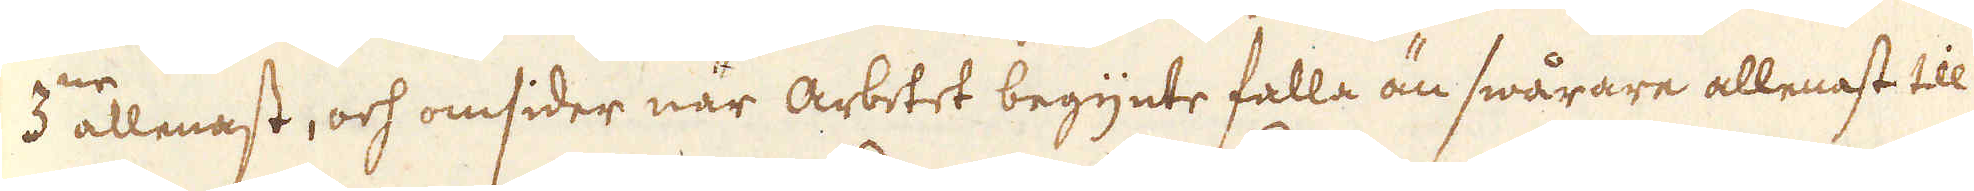3 allenast, och omsider när arbetet begynte falla än swårare allenast till
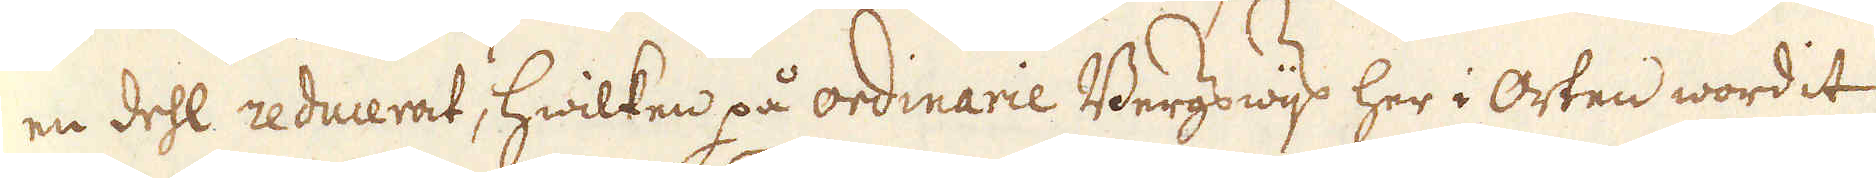en dehl reducerat, hwilken på ordinarie Bergswijs her i Orten wordit
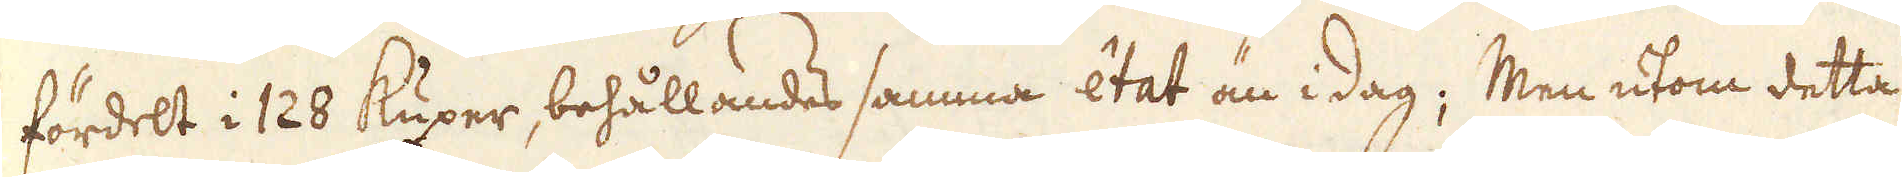fördelt i 128 kuxer, behållandes samma état än i dag; Men utom detta
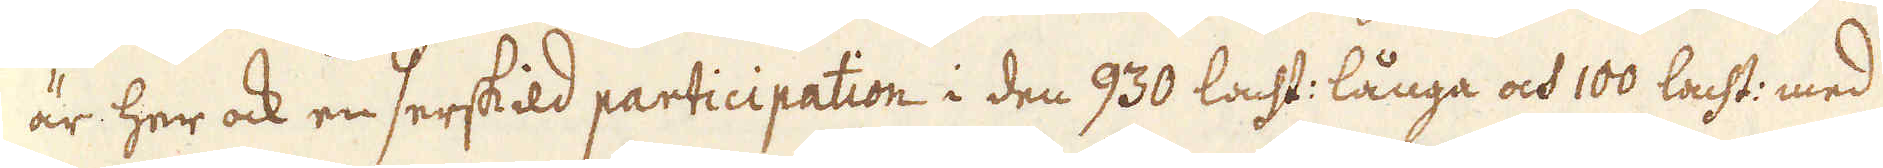är her ock en serskild participation i den 930 lacht: långa och 100 lacht: med
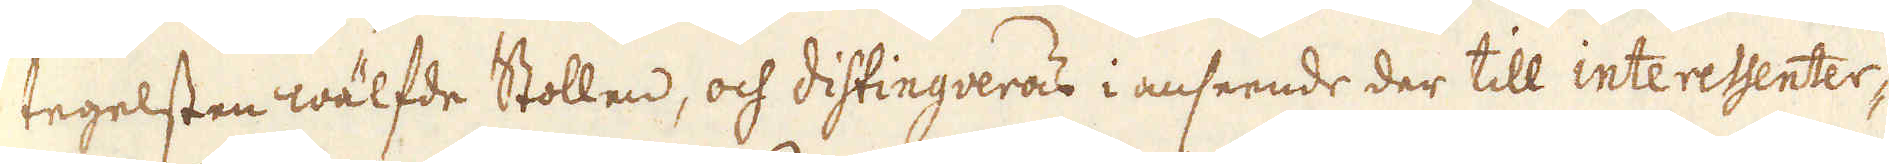tegelsten wälfde Stollen, och distingueras i anseende der till interessenter-
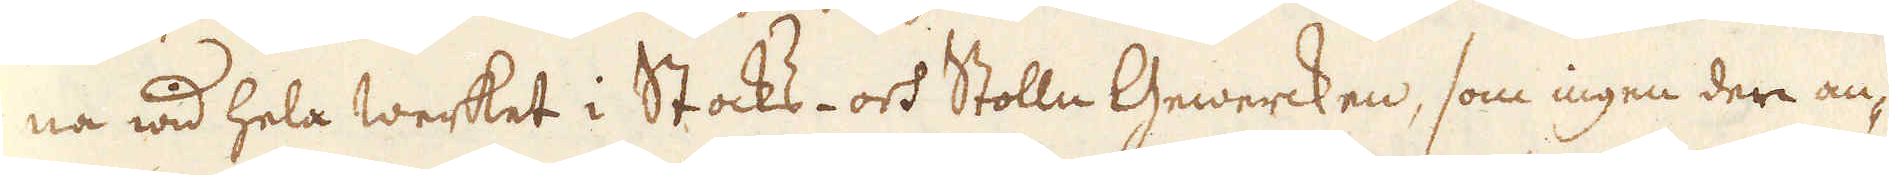na wid hela werket i Stocks- och Stolln Gewercken, som ingen der an-
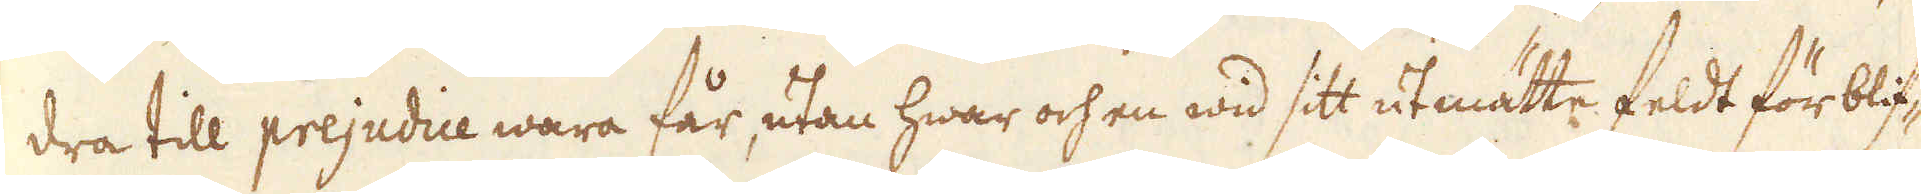dra till prejudice wara får, utan hwar och en wid sitt utmätte feldt för blif-
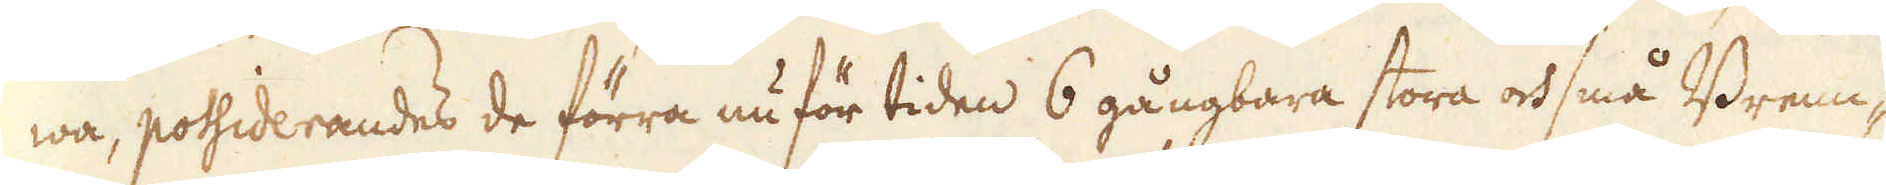wa, possiderandes de förra nu för tiden 6 gångbara stora och små Brenn-
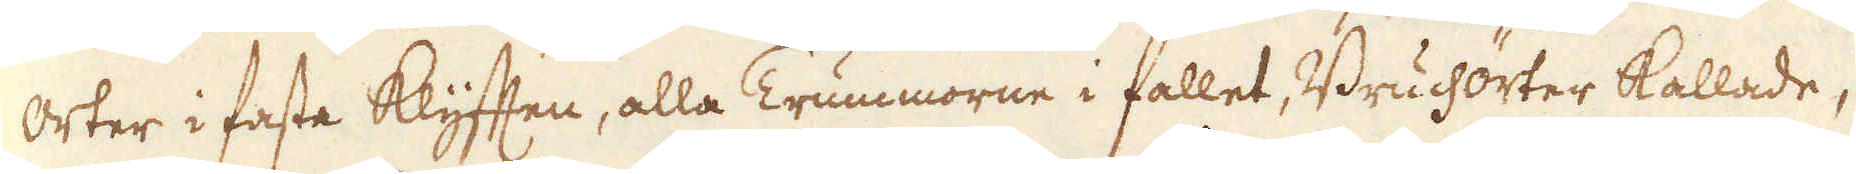orter i fasta klyfften, alla Trummorne i fallet, Bruchörter kallade,
